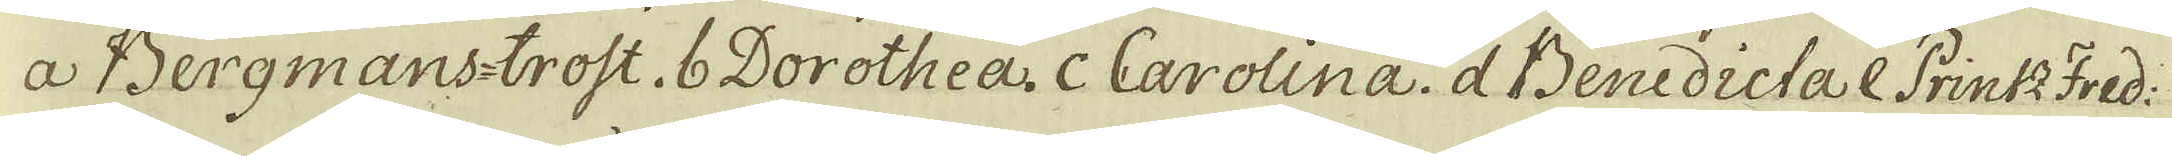a Bergmans-trost, b Dorothea. c Carolina. d Benedicta e Printz Fred:
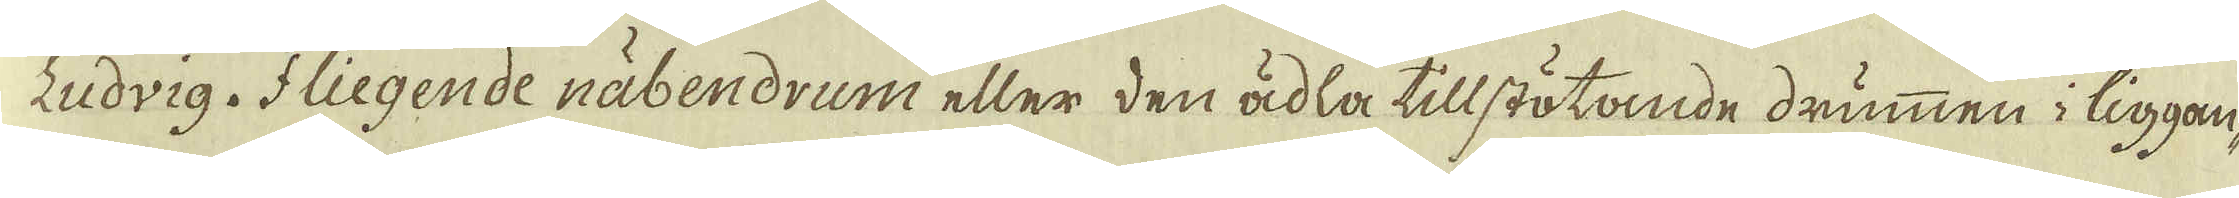Ludvig. f liegende näbendrum eller den ädla tillstötande drummen i liggan-
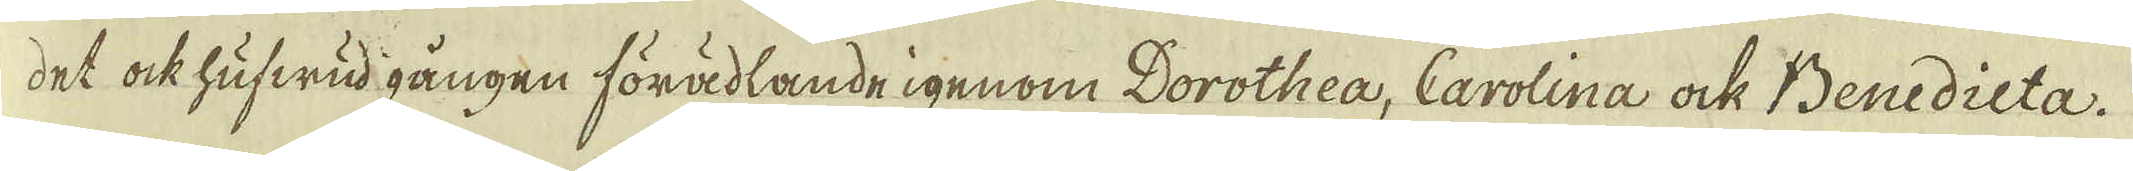det ock hufwud gången förädlande igenom Dorothea, Carolina ock Benedicta.
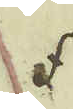f
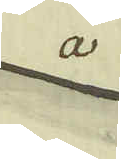a
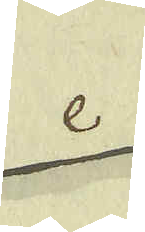e
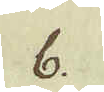b.
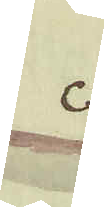c
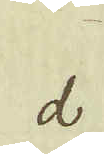d
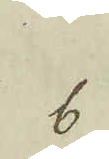b
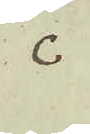c
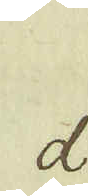d
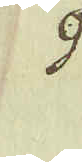9
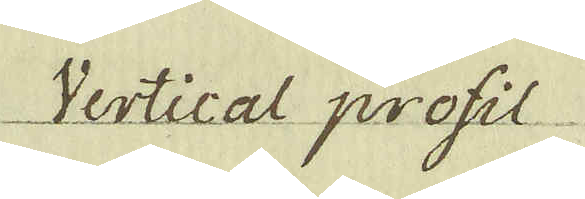Vertical profil
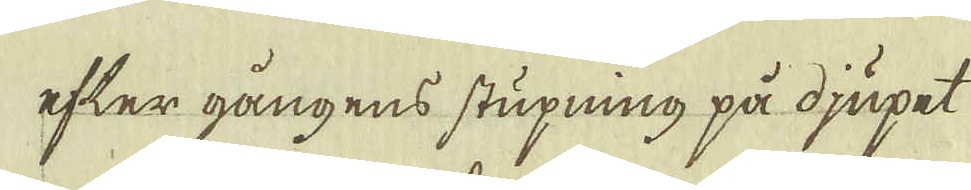efter gångens stupning på djupet
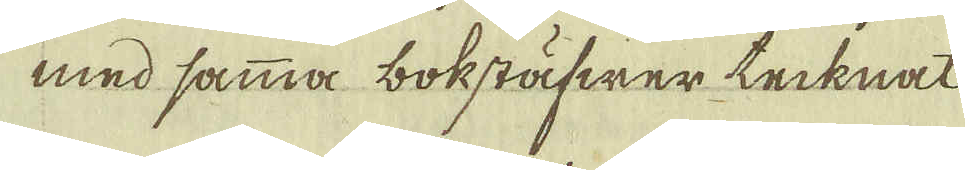med samma bokstäfwer tecknat
